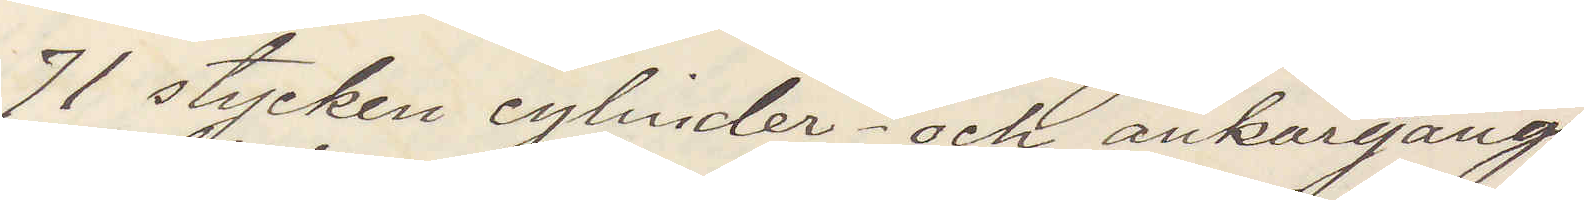71 stycken cylinder och ankargångs
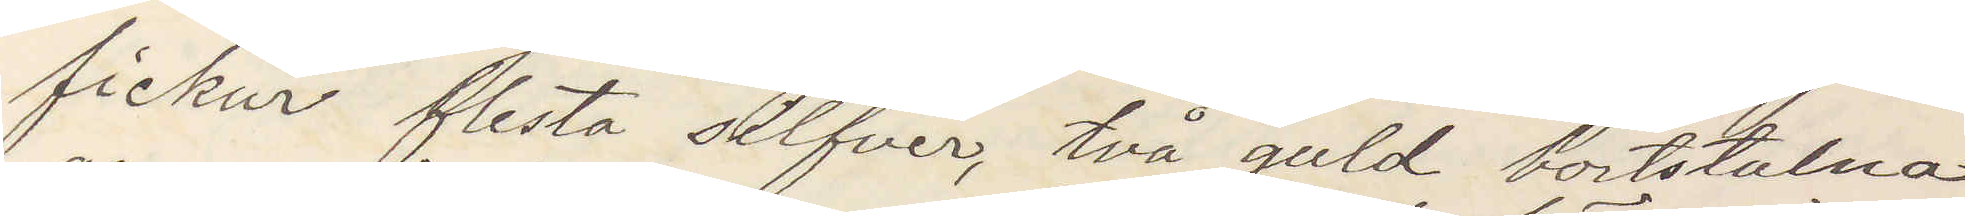fickur flesta silfver, två guld bortstulna
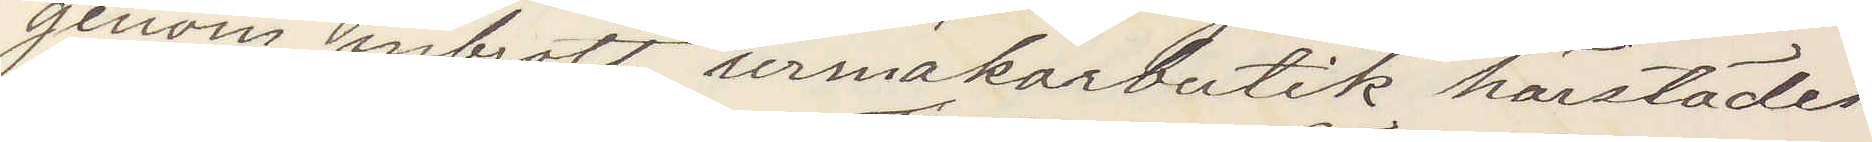genom inbrott urmakarbutik härstädes
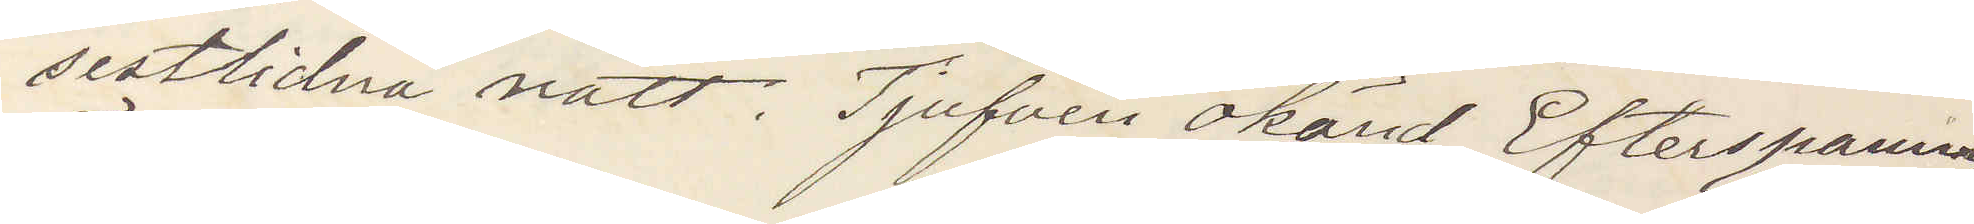sistlidna natt. Tjufven okänd, Efterspaning
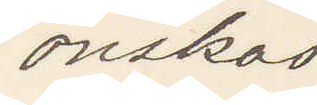önskas
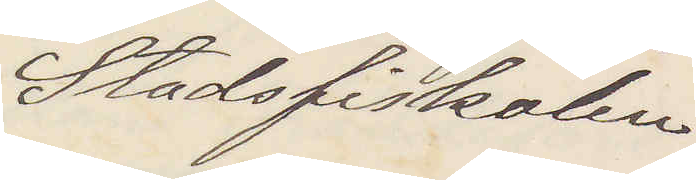Stadsfiskalen
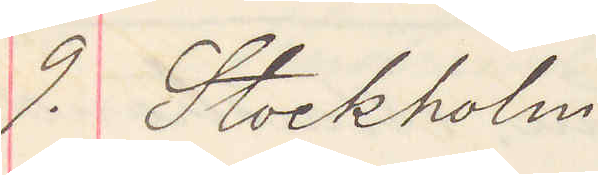9. Stockholm
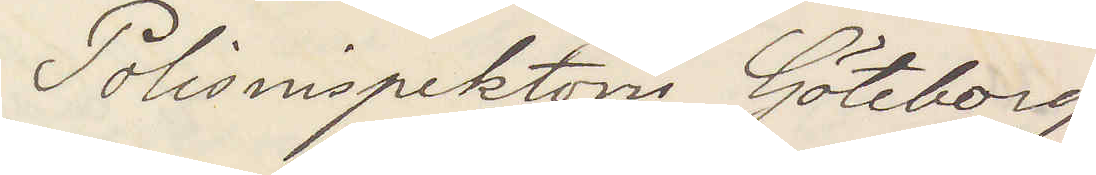Polisinspektorn Göteborg
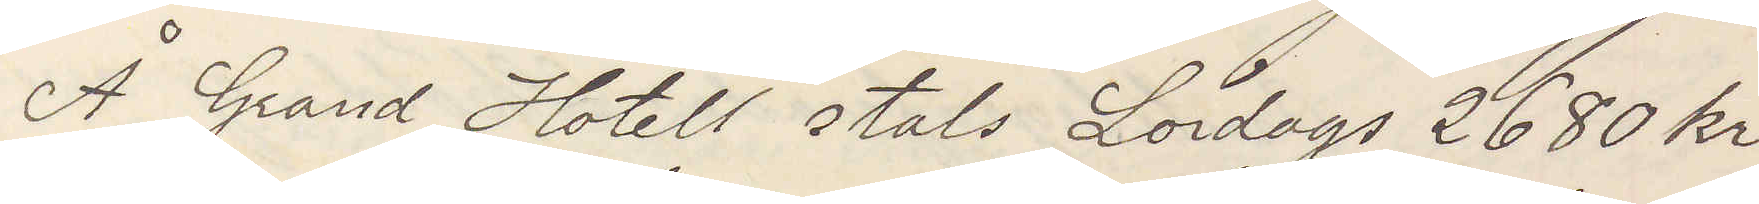Å Grand Hotell stals Lördags 2680 kr
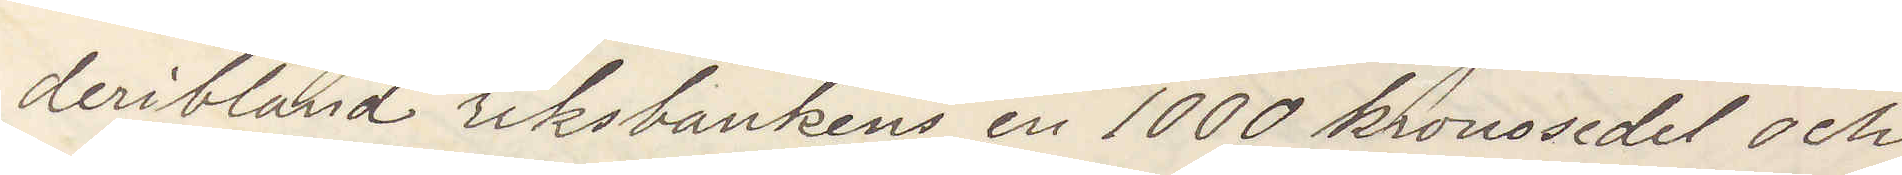deribland riksbankens en 1000 kronosedel och
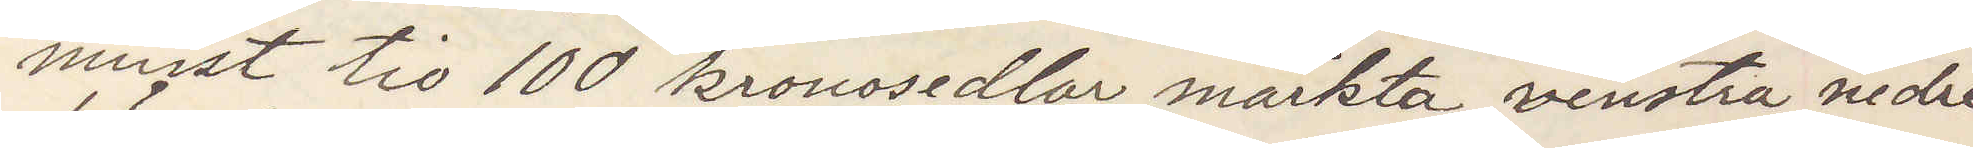minst tio 100 kronosedlar märkta venstra nedre
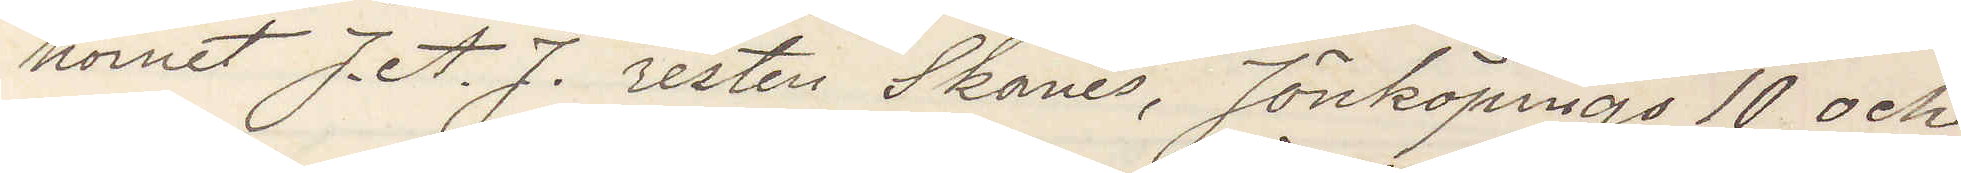hörnet J. A. J. resten Skånes, Jönköpings 10 och
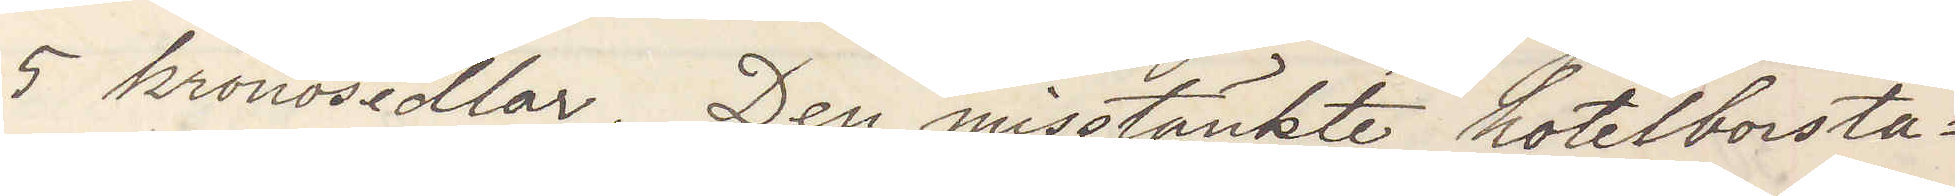5 kronosedlar. Den misstänkte hotelborsta¬
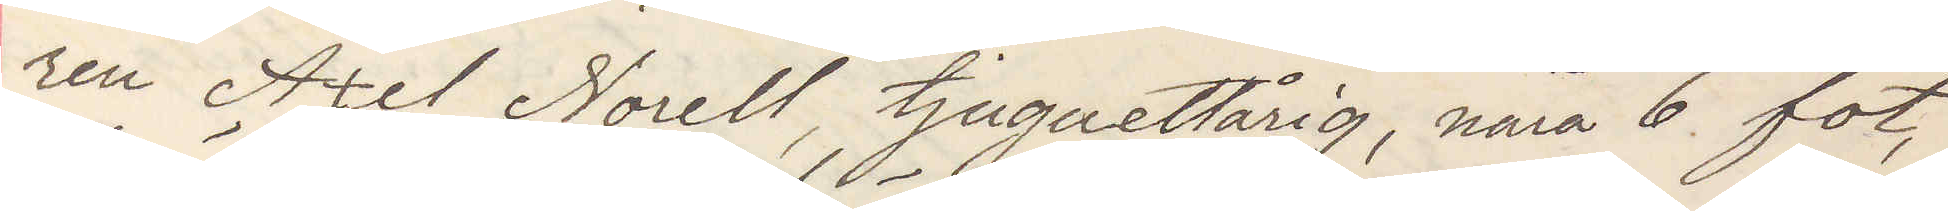ren Axel Norell, tjuguettårig, nära 6 fot,
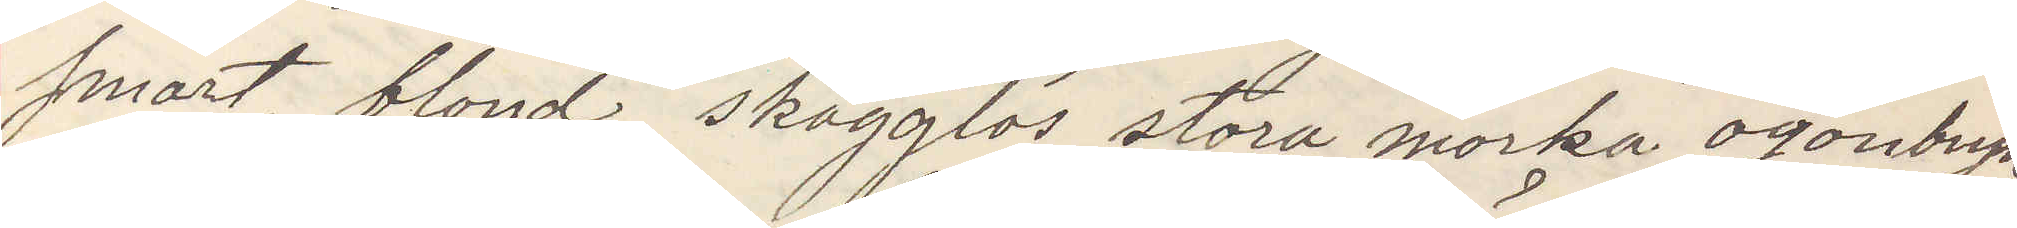smärt, blond, skägglös stora mörka ögonbryn,
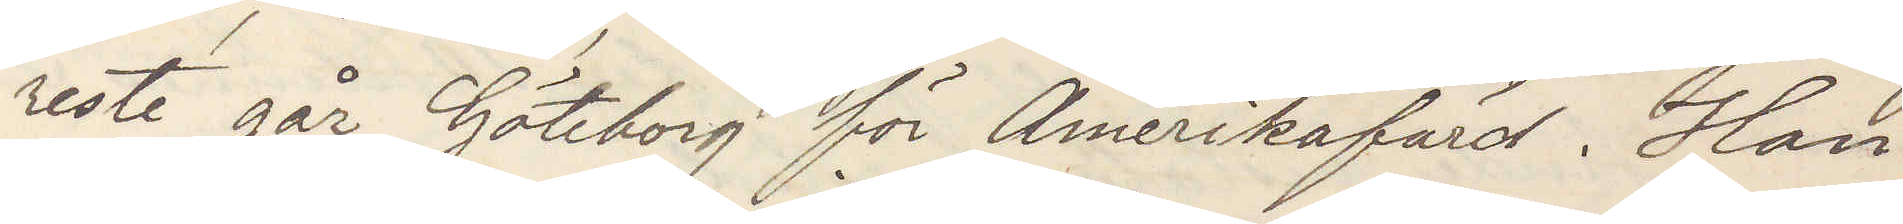reste går Göteborg för Amerikafärd. Han
